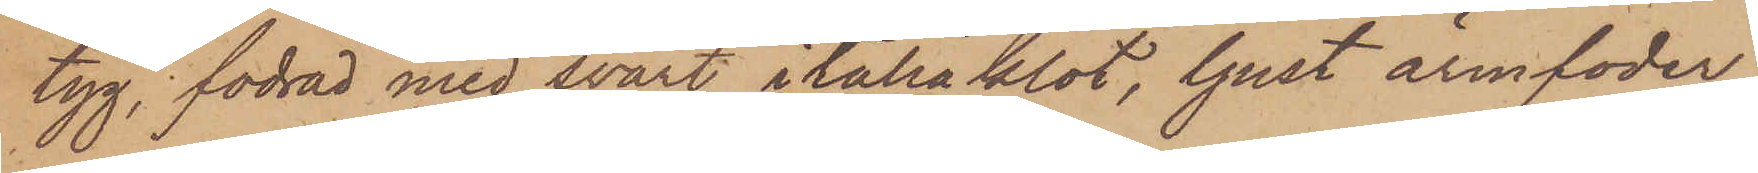tyg, fodrad med svart i italiaklot, ljust armfoder
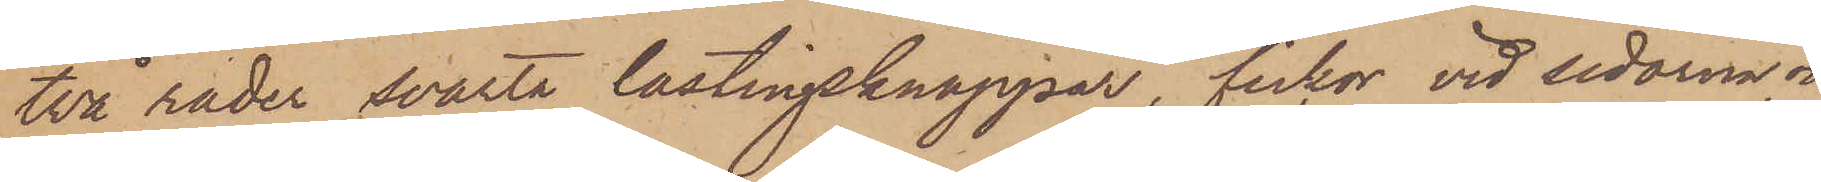två rader svarta lastingsknappar, fickor vid sidorna, och
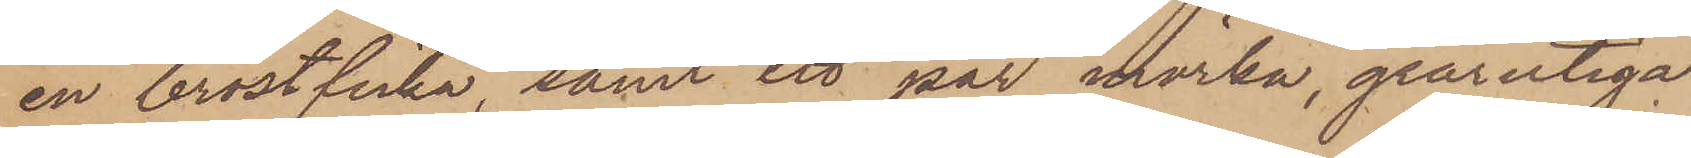en bröstficka, samt ett par mörka, grårutiga
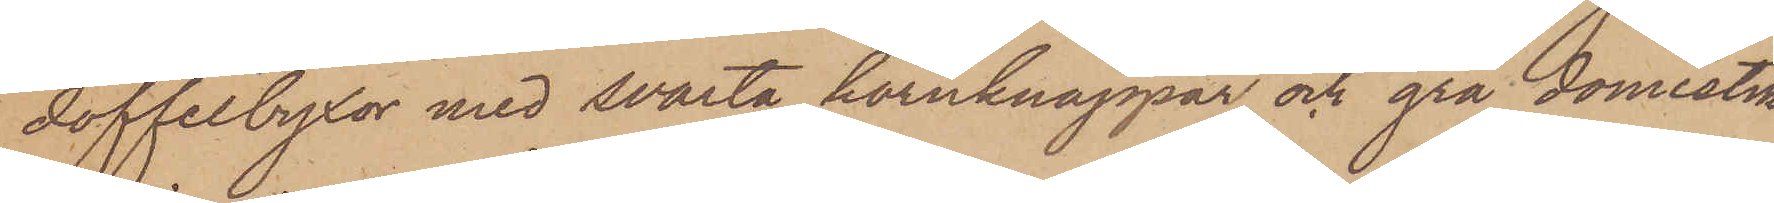doffelbyxor med svarta hornknappar och grå domestik
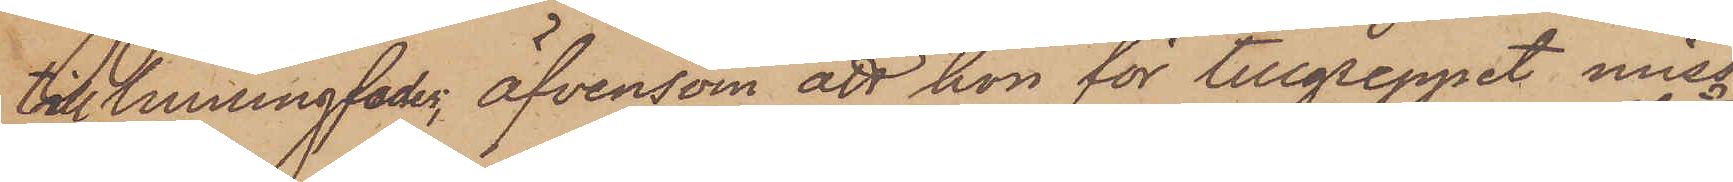till linningsfoder, äfvensom att hon för tillgripnet miss¬
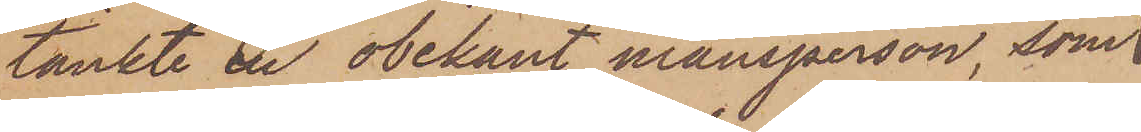tänkte en obekant mansperson, som
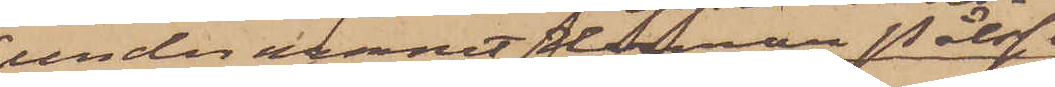under namnet Herman Pålsson
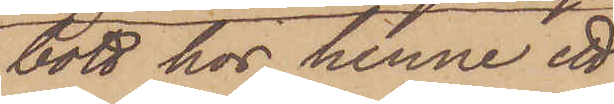bott hos henne ett
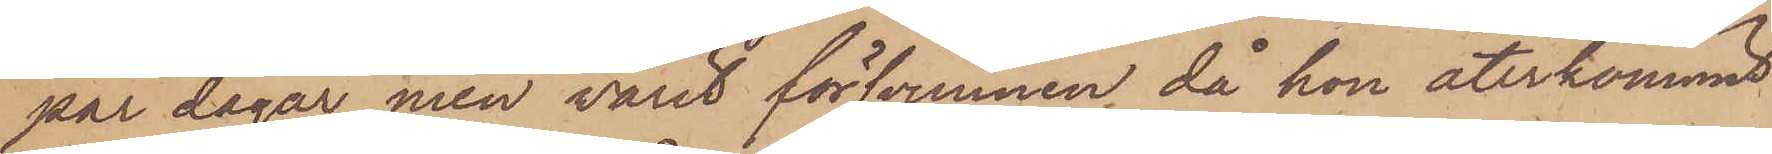par dagar, men varit försvunnen då hon återkommit
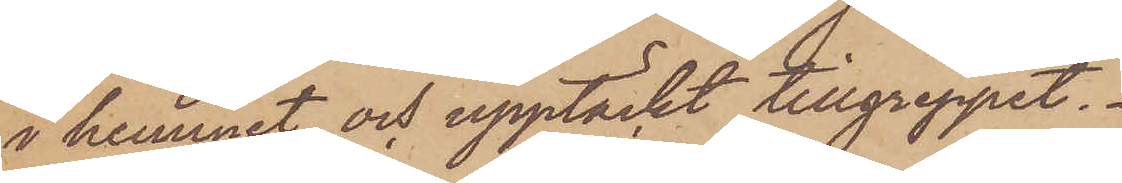i hemmet och upptäckt tillgreppet.
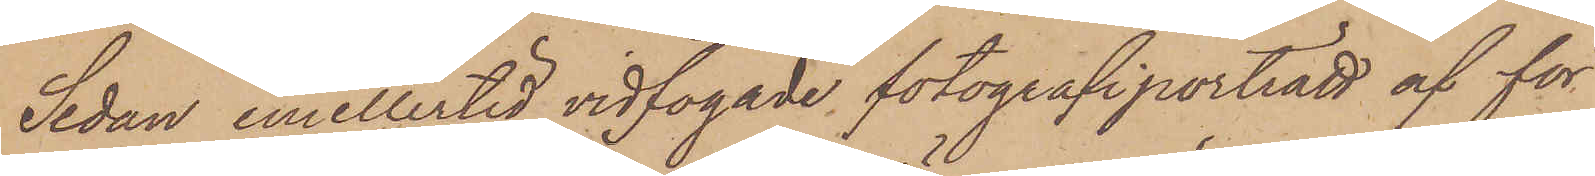Sedan emellertid vidfogade fotografiporträtt af för
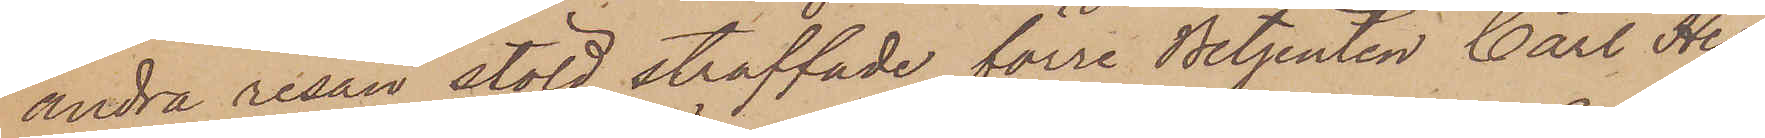andra resan stöld straffade förre Betjenten Carl Her¬
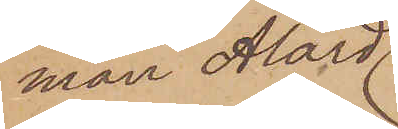man Alard
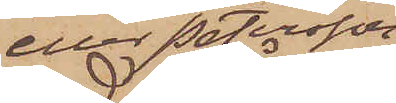eller Petersson
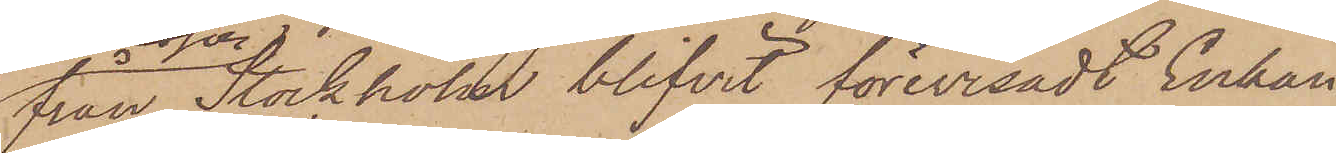från Stockholm blifvit förevisadt Enkan
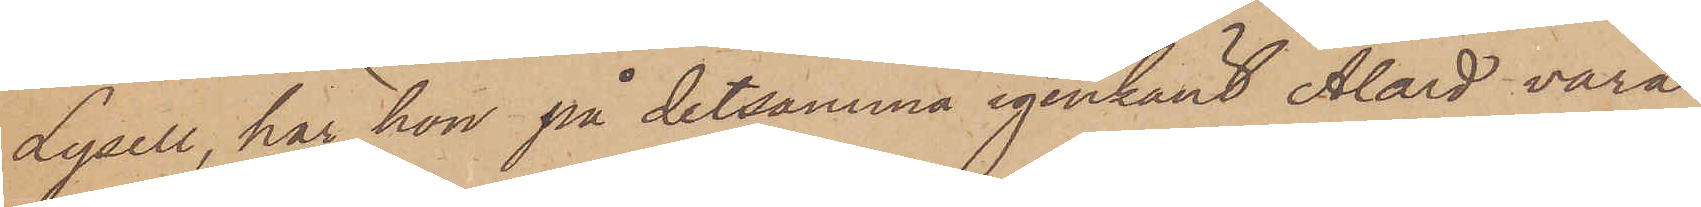Lysell, har hon på detsamma igenkänt Alard vara
